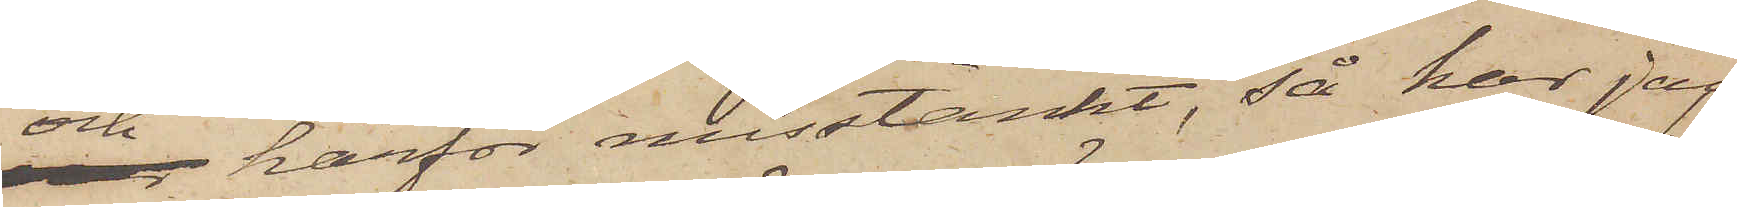och härför misstänkt, så har jag
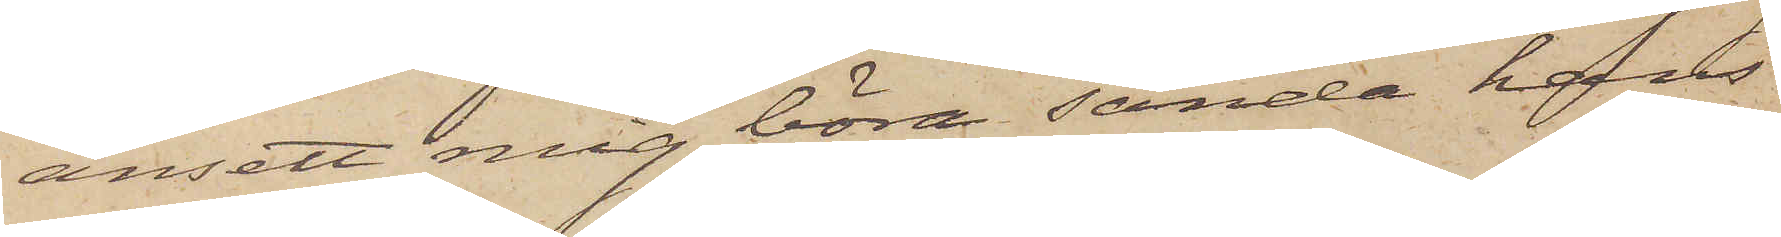ansett mig böra sända hans
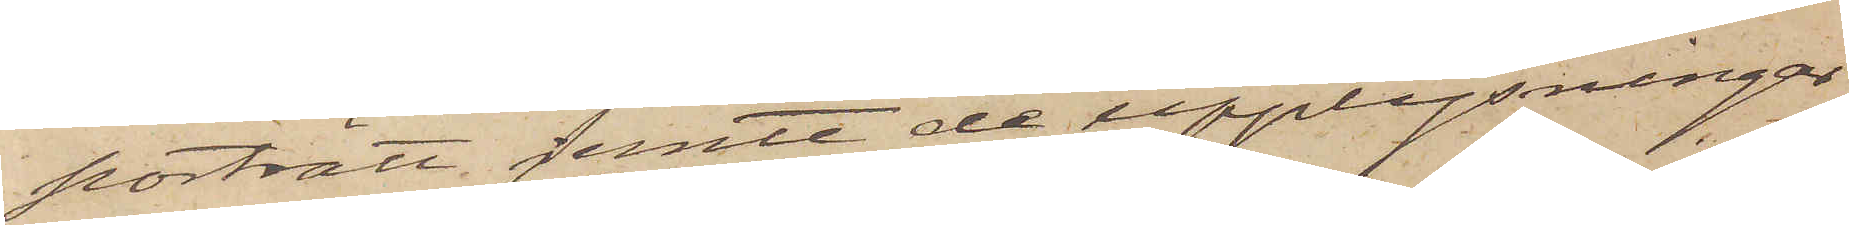porträtt jemte de upplysningar
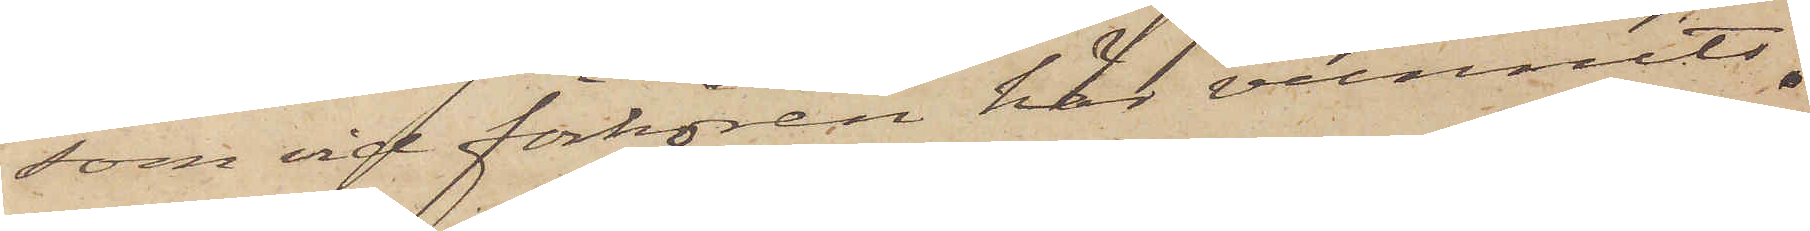som vid förhören här vunnits.
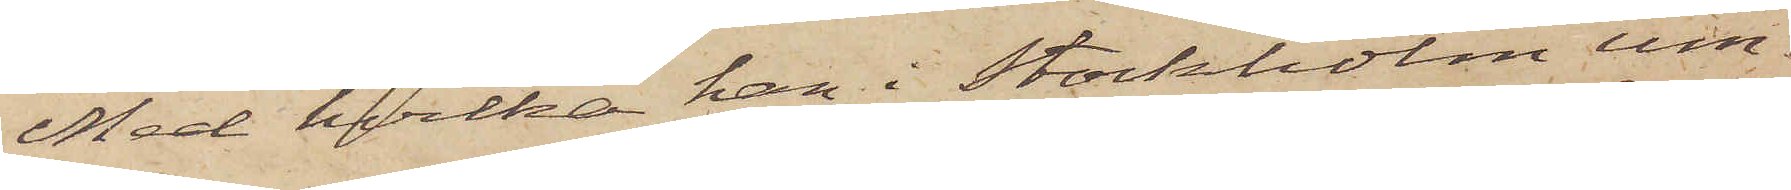Med hvilka han i Stockholm um¬
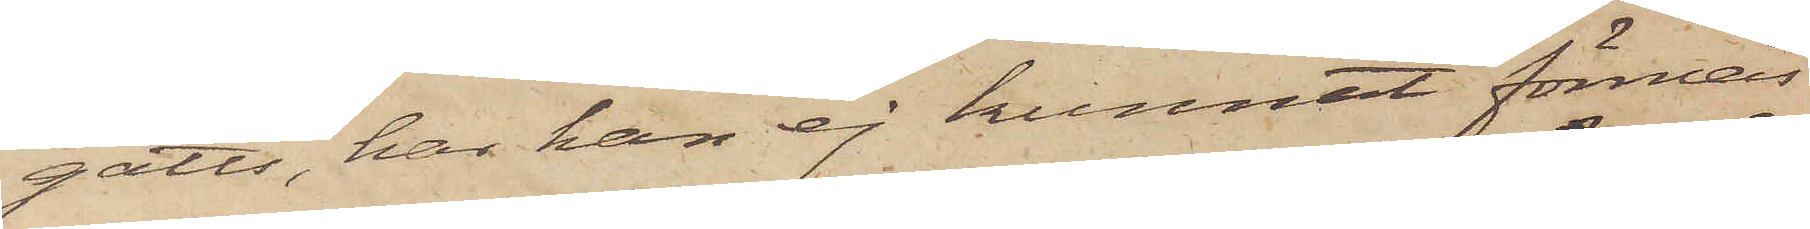gåtts, har han ej kunnat förmås
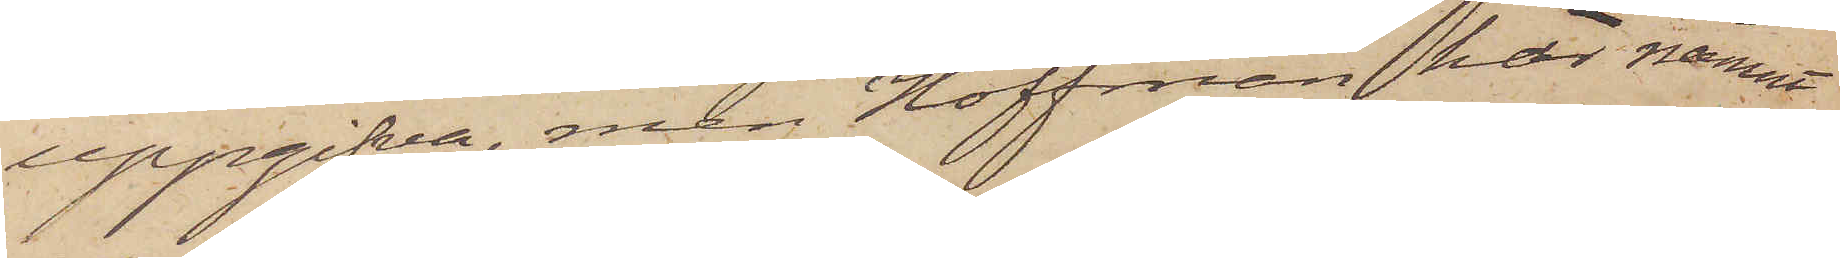uppgifva, men Hoffman har nämnt
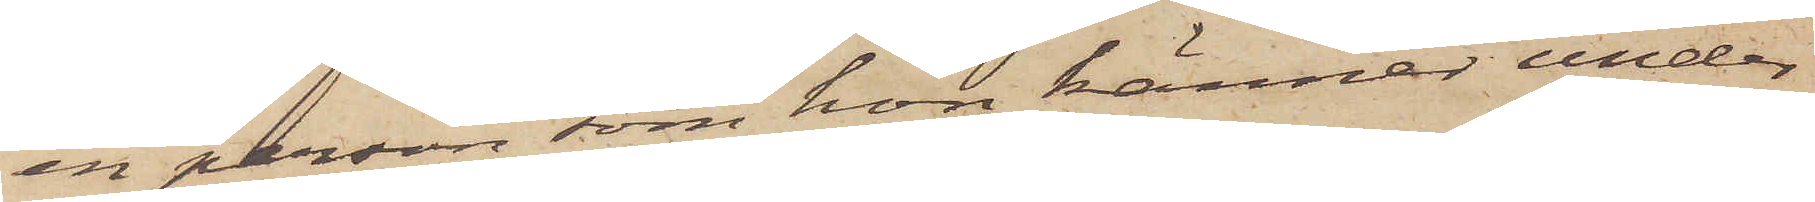en person, som hon känner under
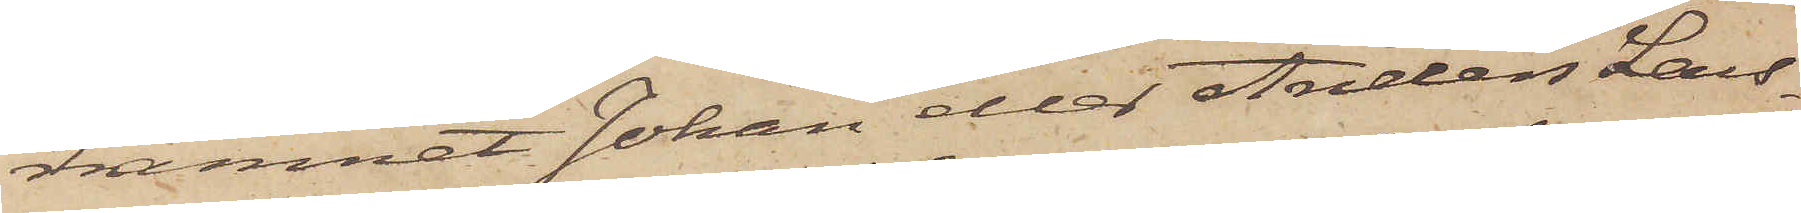namnet Johan eller Anders Lars¬
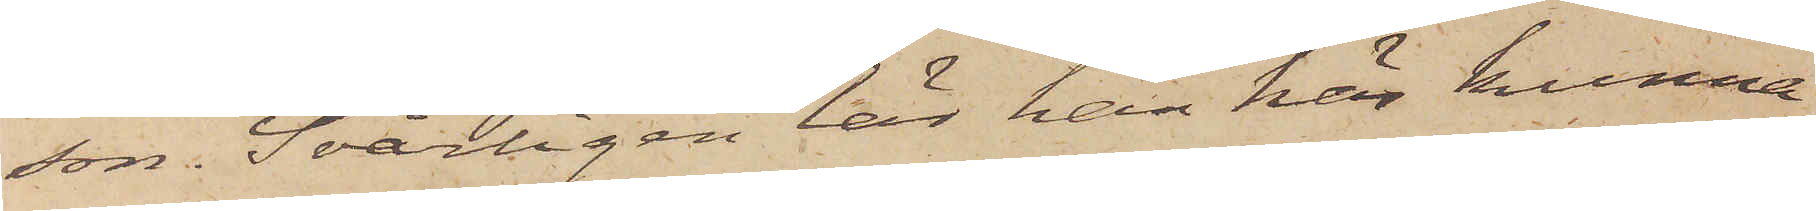son. Svårligen lär han här kunna
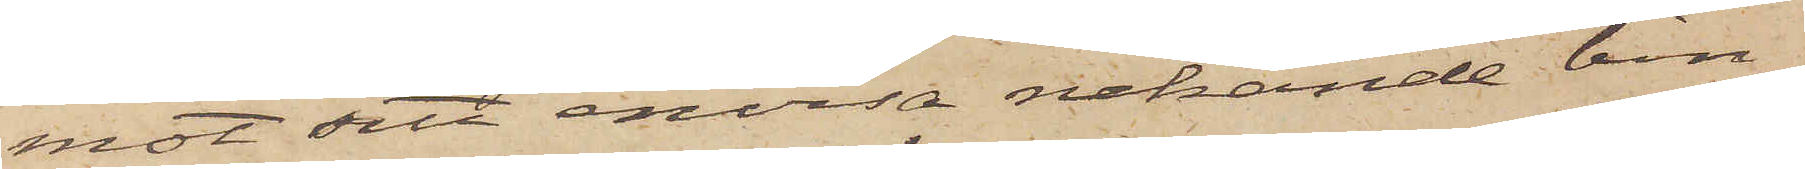mot sitt envisa nekande bin¬
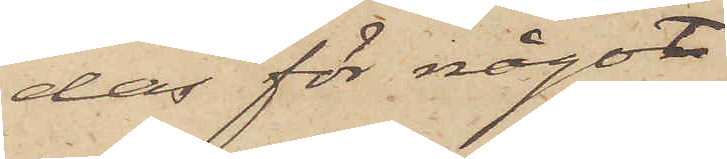das för något
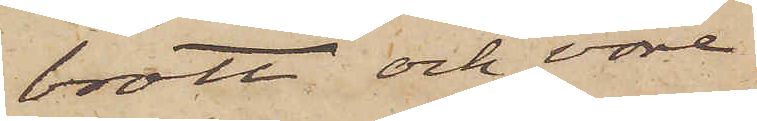brott och vore
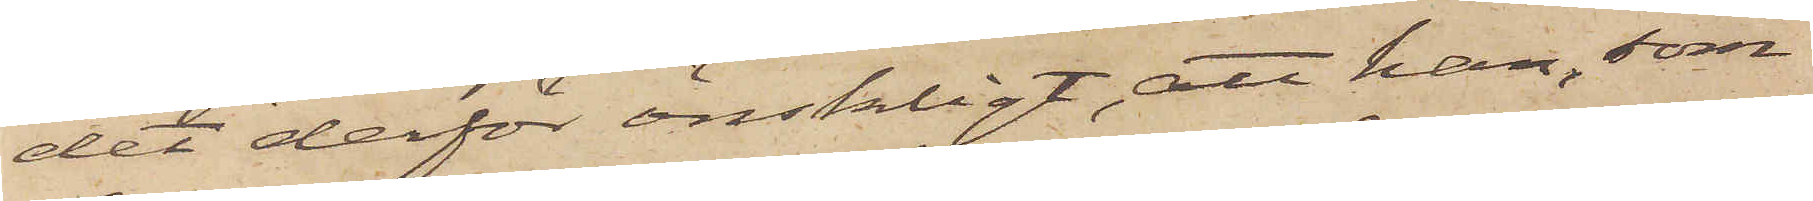det derför önskligt, att han, som
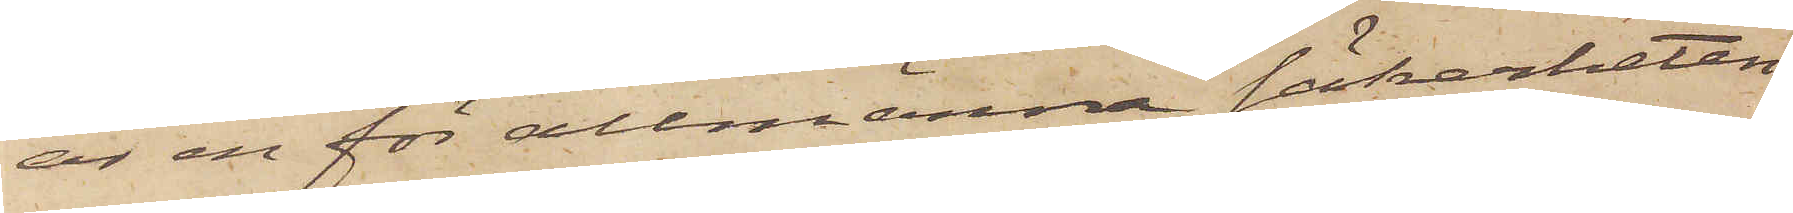är en för allmänna säkerheten
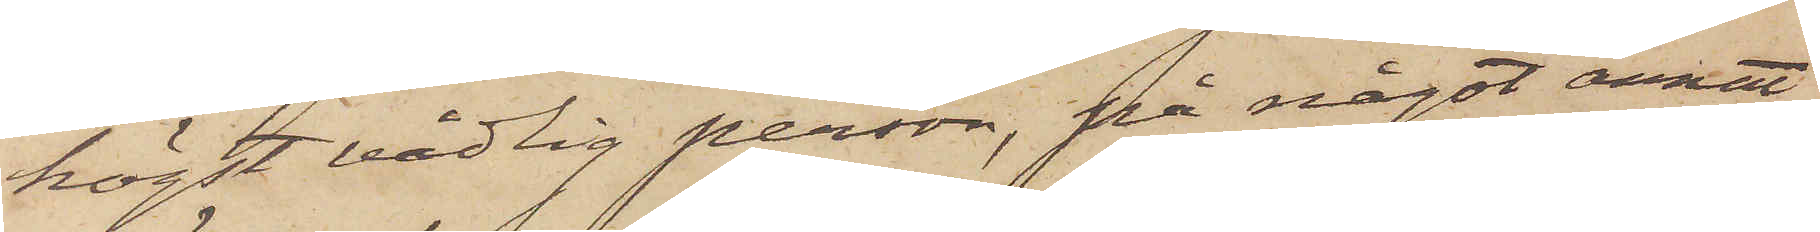högst vådlig person, på något annat
